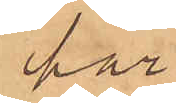hår;
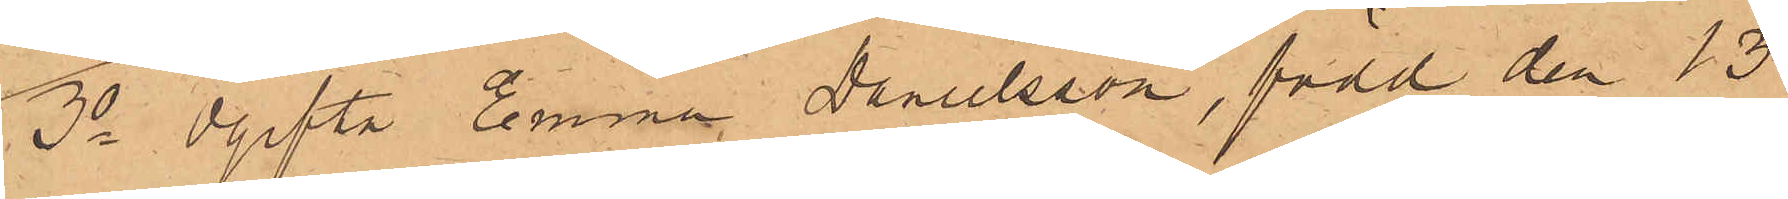3o Ogifta Emma Danielsson, född den 13
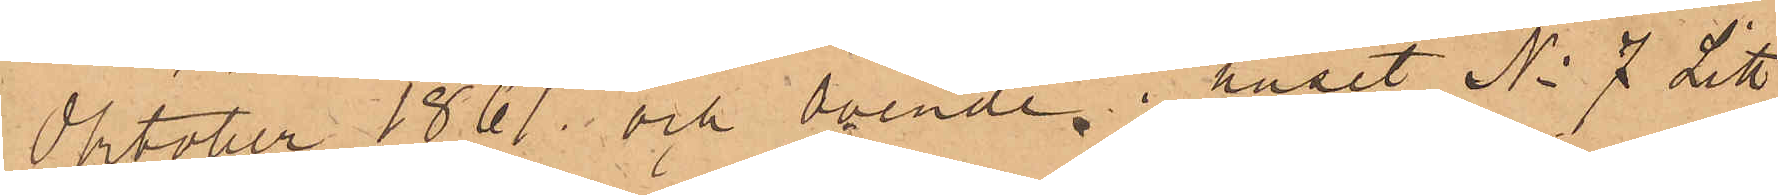Oktober 1861 och boende i huset No 7 Litt
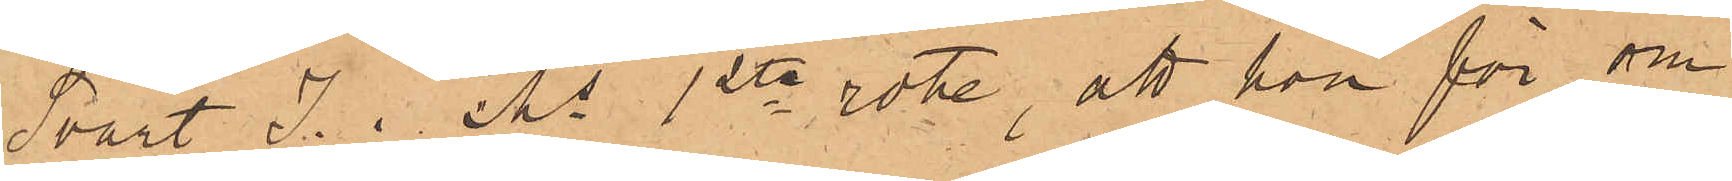Svart J. Ms 1ste rote, att hon för om¬
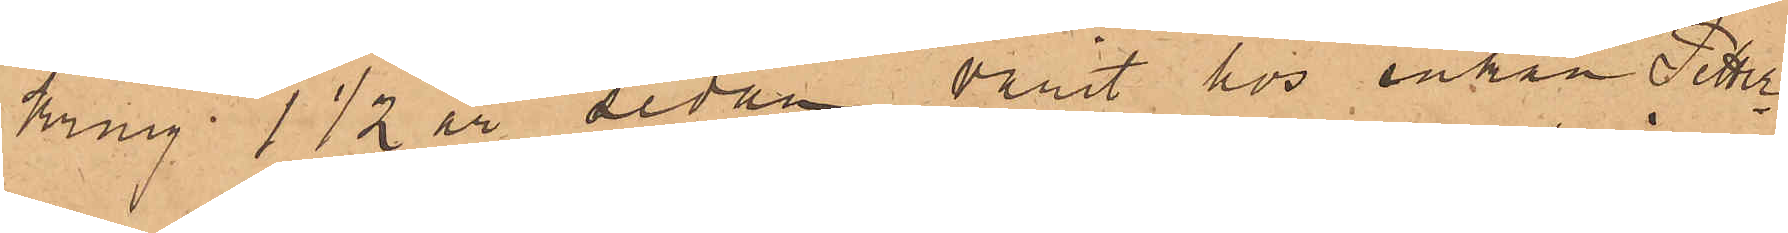king 1 1/2 år sedan varit hos enkan Petter¬
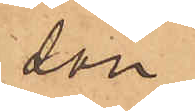son
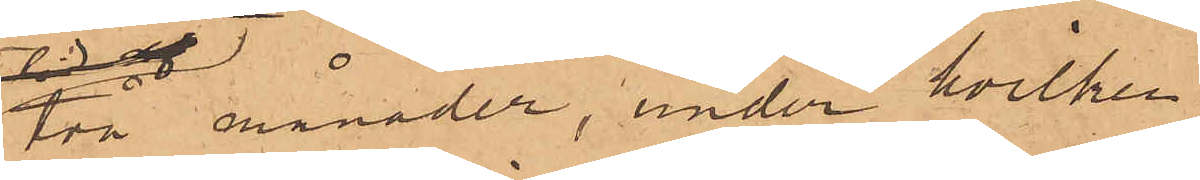två månader, under hvilken
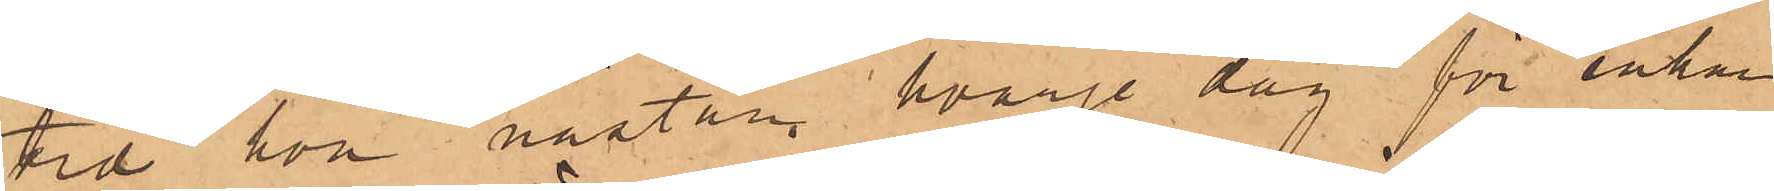tid hon nästan hvarje dag för enkan
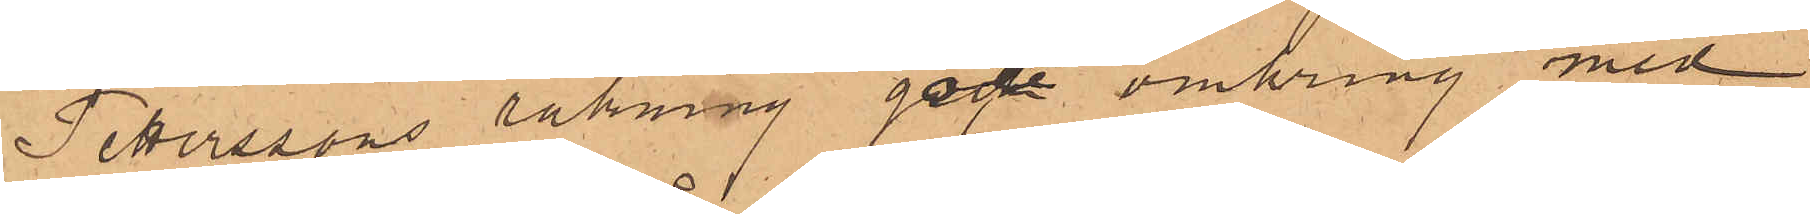Petterssons räkning gått omkring med
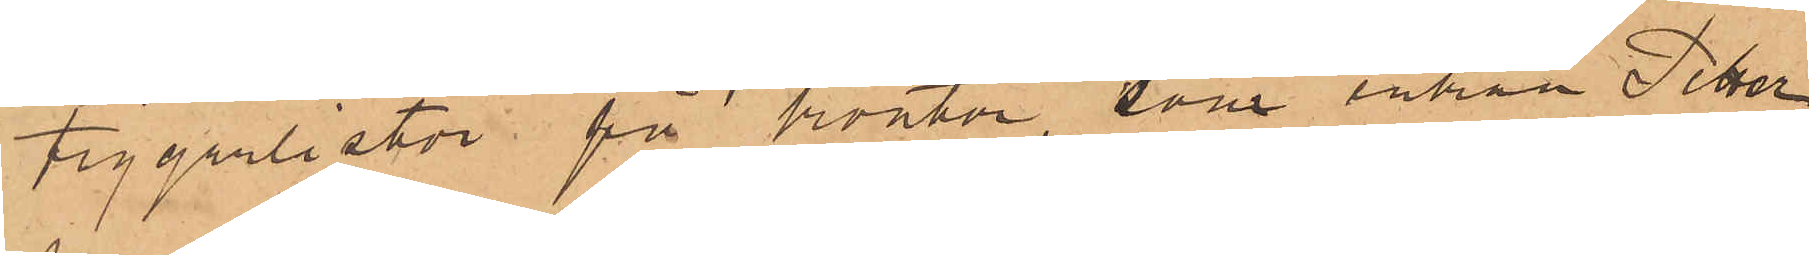tiggarlistor på kontor, som enkan Petter¬
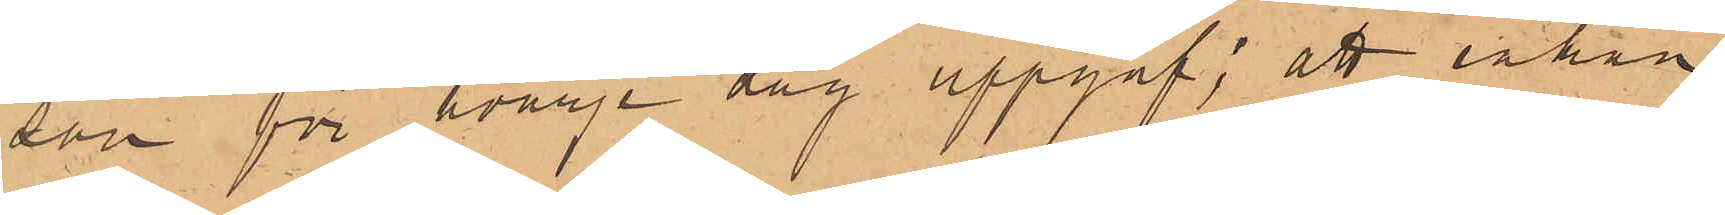son för hvarje dag uppgaf; att enkan
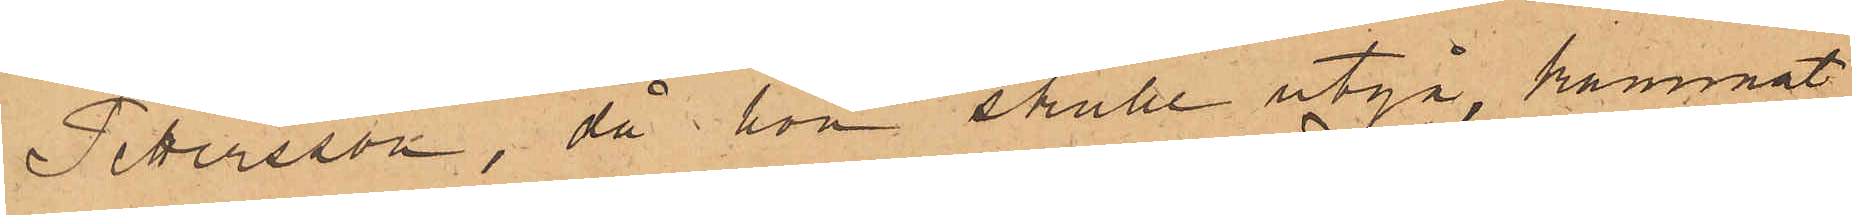Pettersson, då hon skulle utgå, kammat
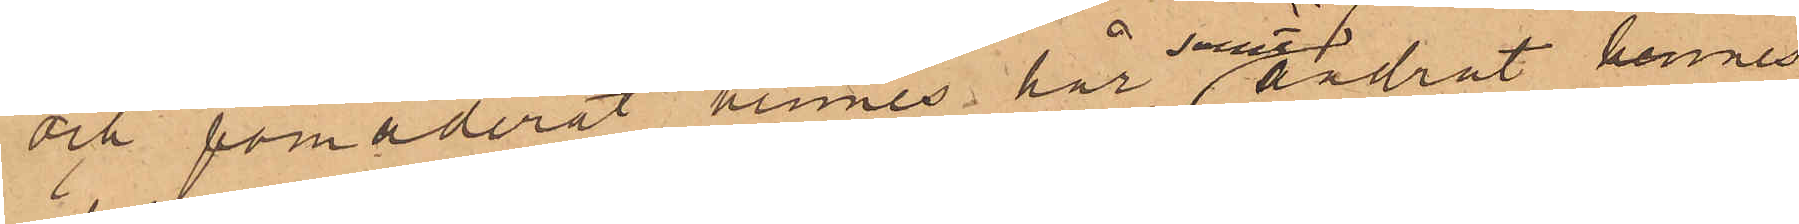och pomaderat hennes hår samt ändrat hennes
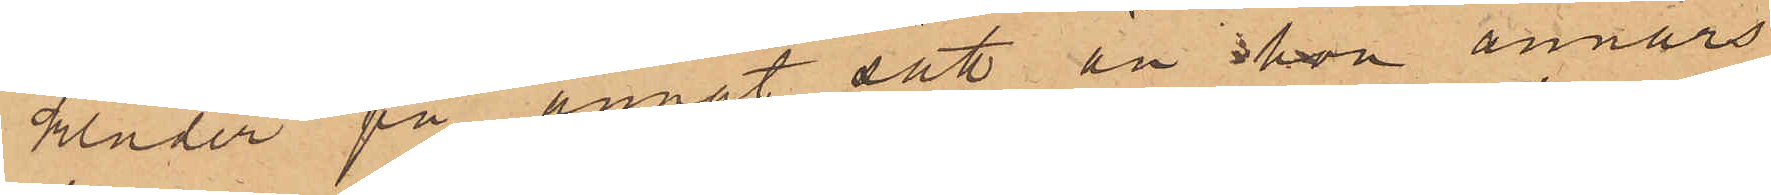Kläder på annat sätt än hon annars
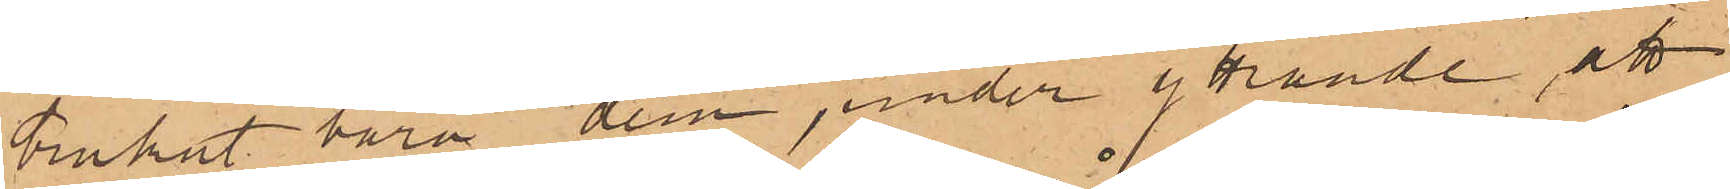brukat bära dem under yttrande att
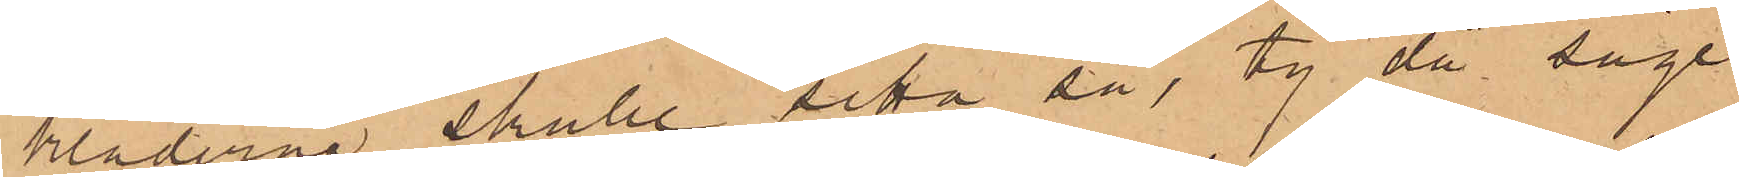kläderna skulle sitta så, ty då såge
